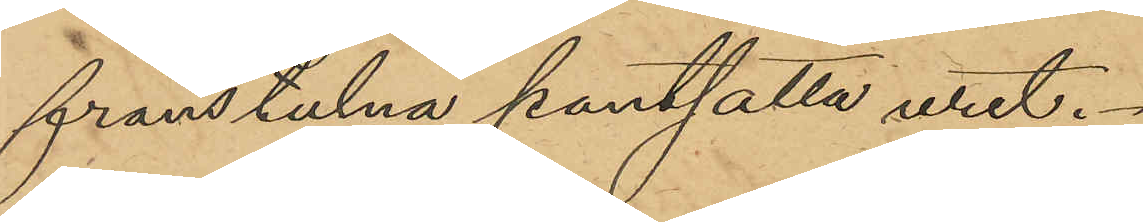frånstulna pantsatta uret.
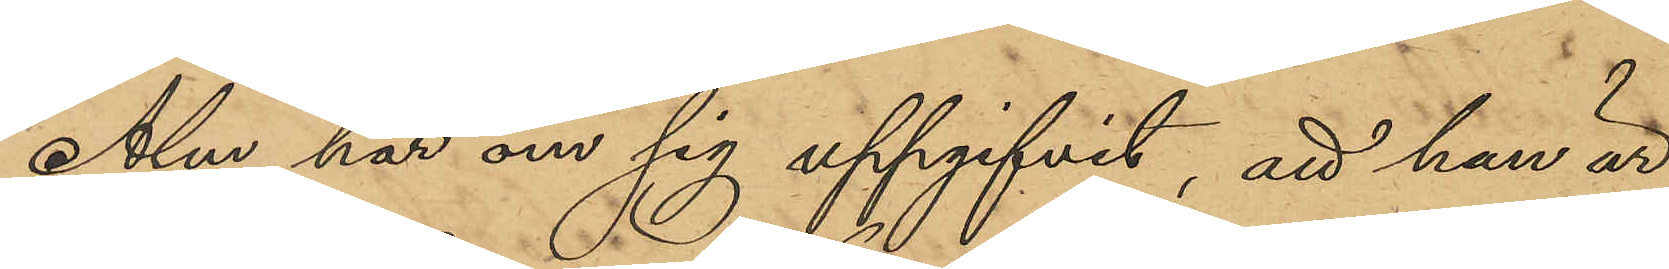Alm har om sig uppgifvit, att han är
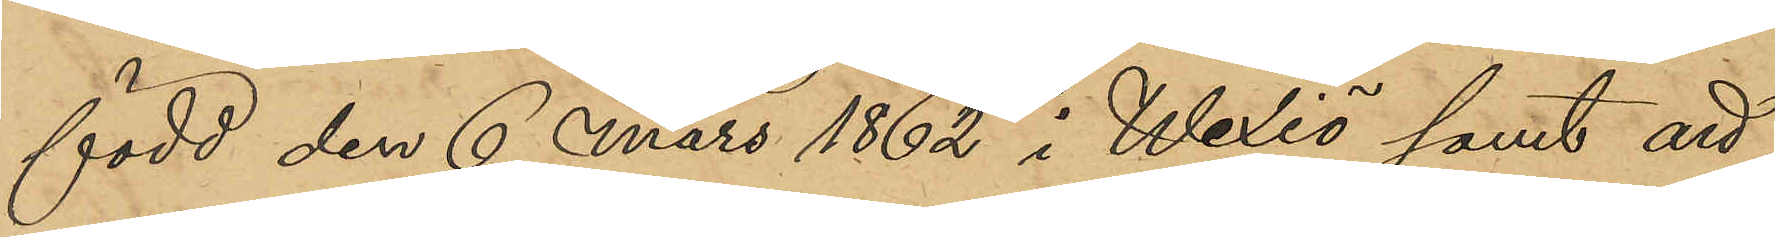född den 6 Mars 1862 i Wexiö samt att
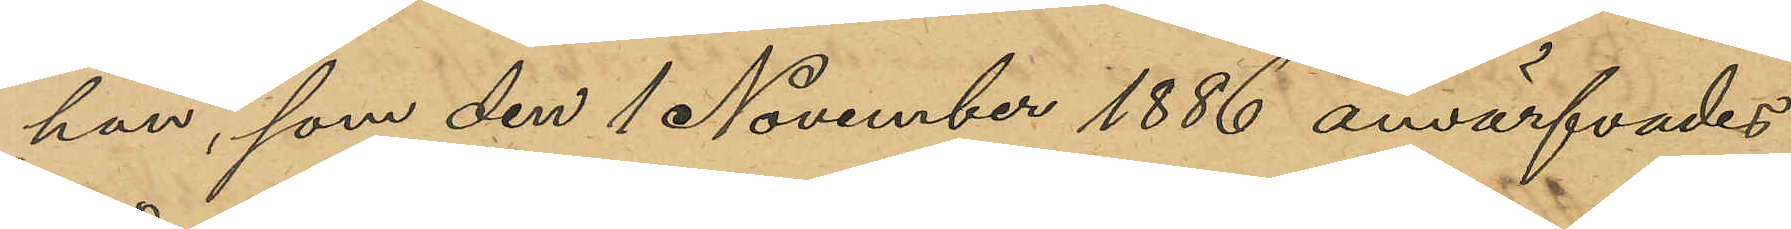han, som den 1 November 1886 anvärfvades
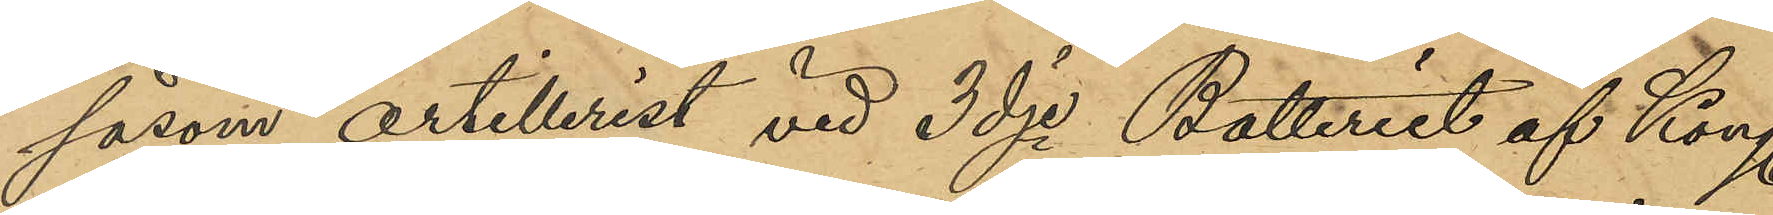såsom artillerist vid 3dje batteriet af Kong.
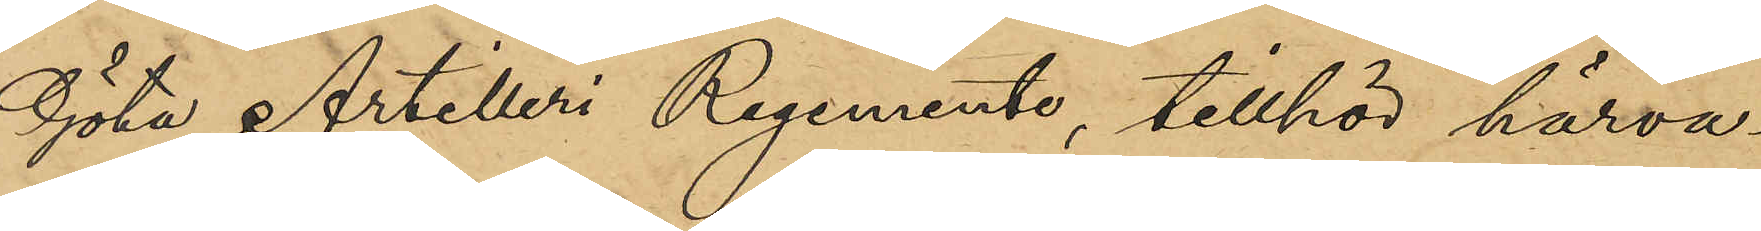Göta Artilleri Regemente, tillhör härva¬
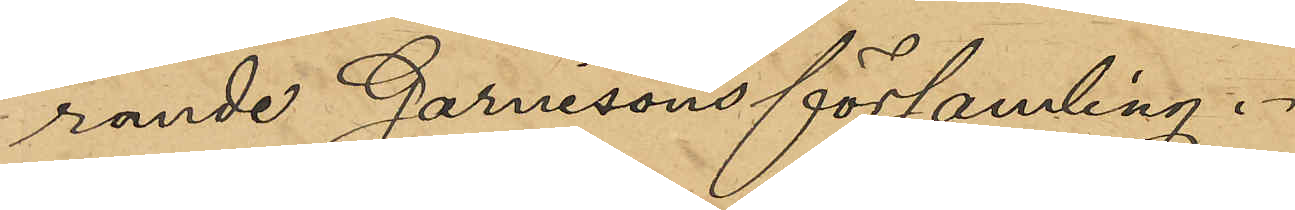rande Garnisonsförsamling.
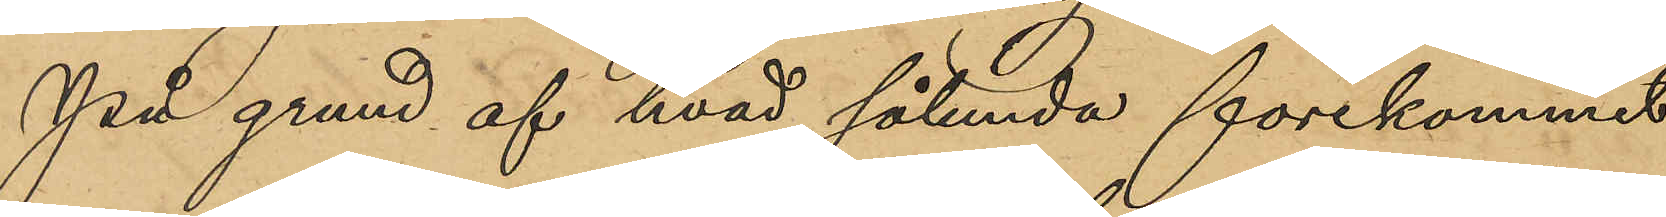På grund af hvad sålunda förekommit
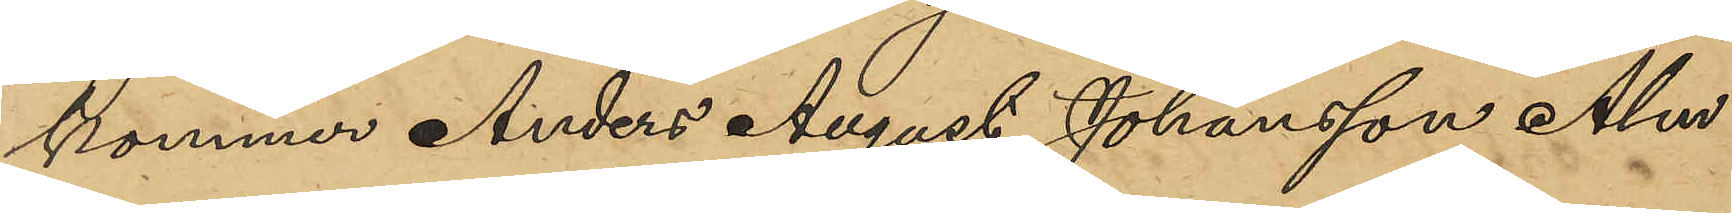kommer Anders August Johansson Alm
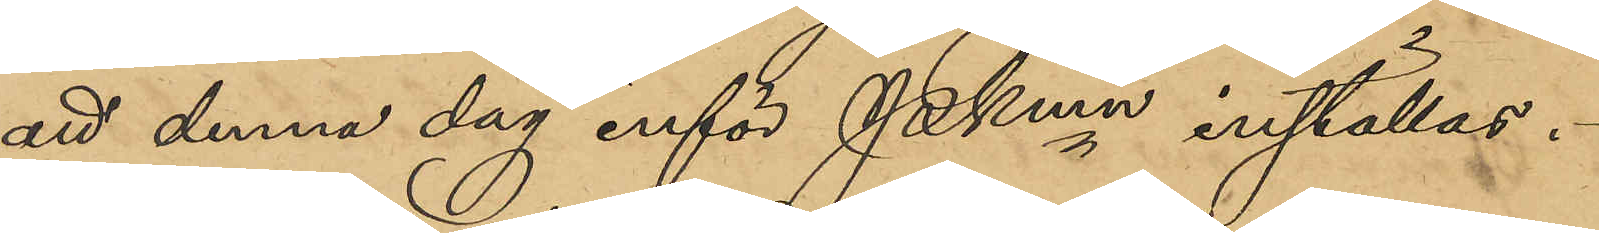att denna dag inför Pkmn inställas.
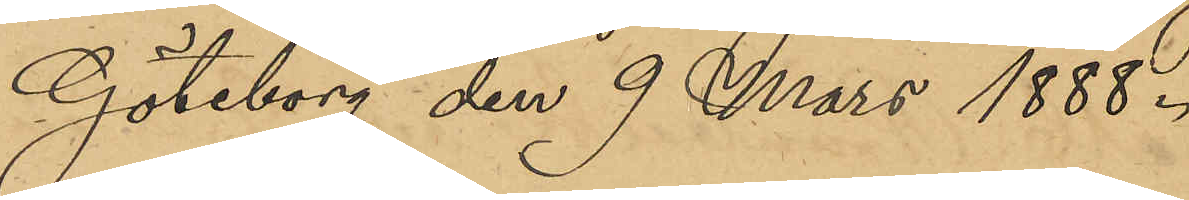Göteborg den 9 Mars 1888
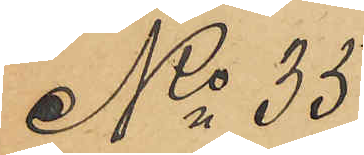No 35
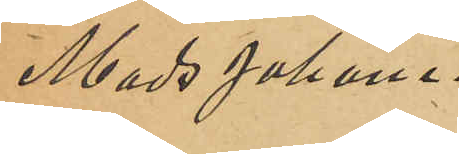Mads Johane¬
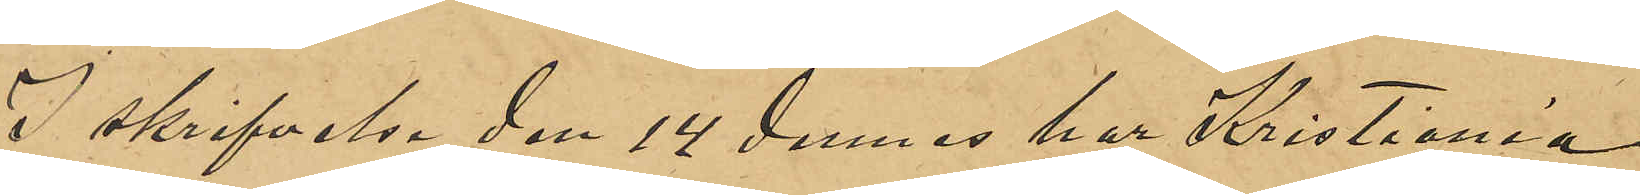I skrifvelse den 14 dennes har Kristiania
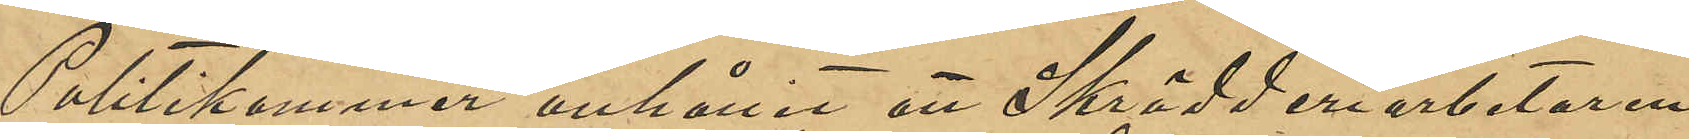Politikammer anhållit en Skrädderiarbetare
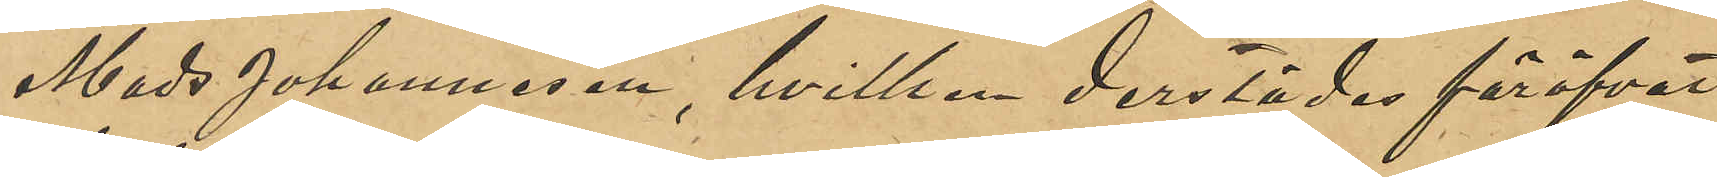Mads Johannesen, hvilken derstädes föröfvat
